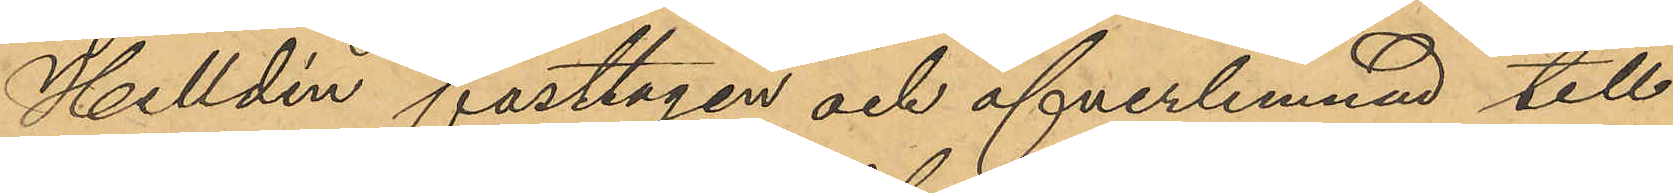Helldén fasttagen och öfverlämnad till
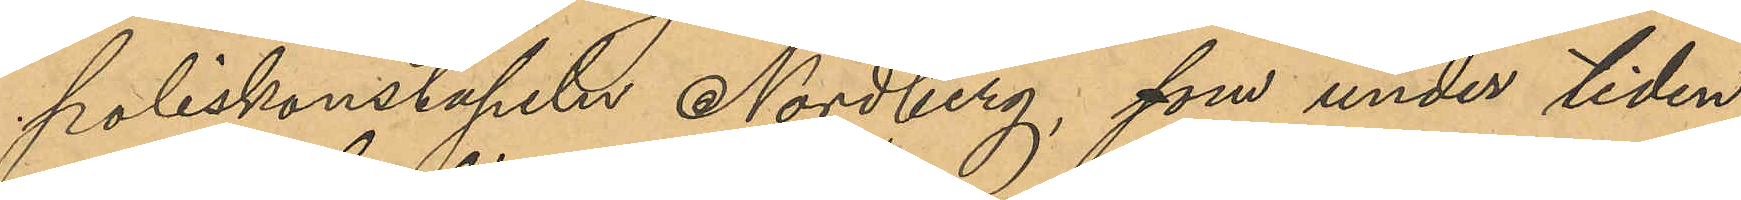poliskonstapeln Nordberg, som under tiden
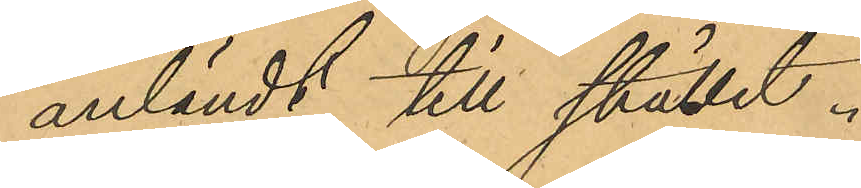anländt till stället.
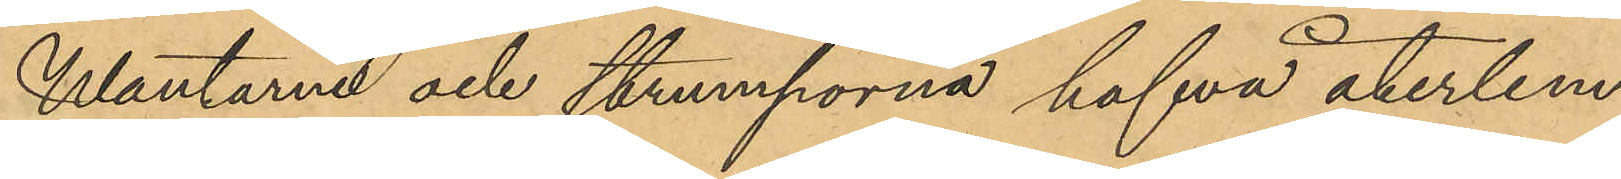Wantarna och strumporna hafva återlem¬
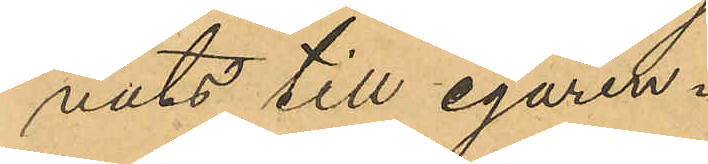nats till egaren.
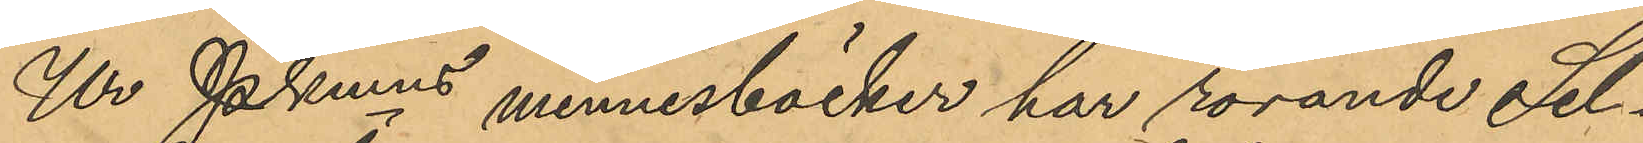Ur Pkmns minnesböcker har rörande Sel¬
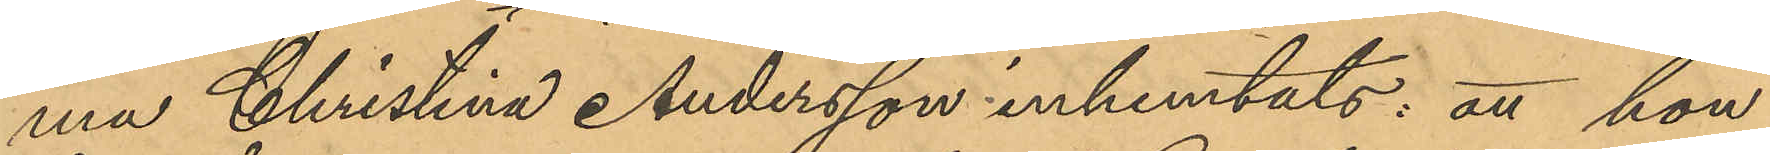ma Christina Andersson inhemtats: att hon
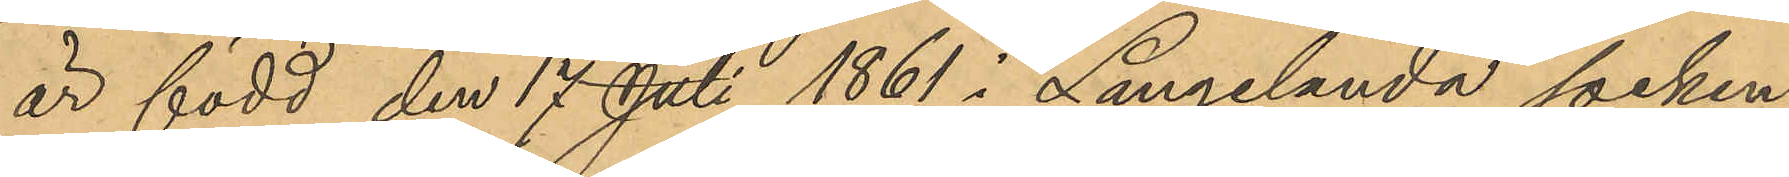är född den 17 Juli 1861 i Långelanda socken
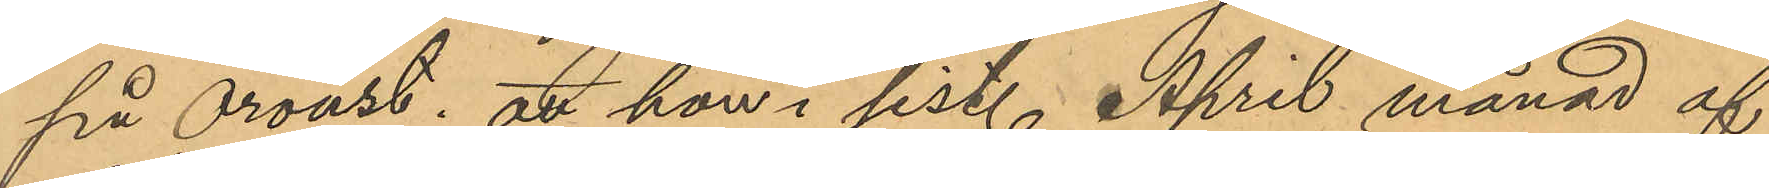på Oroust; att hon i sist. April månad af
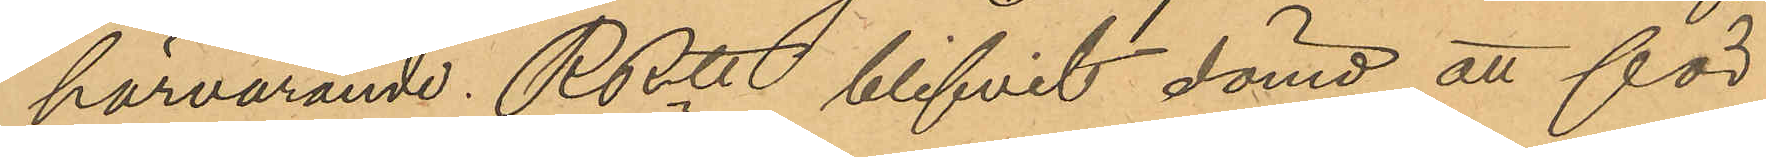härvarande RRtt blifvit dömd att för
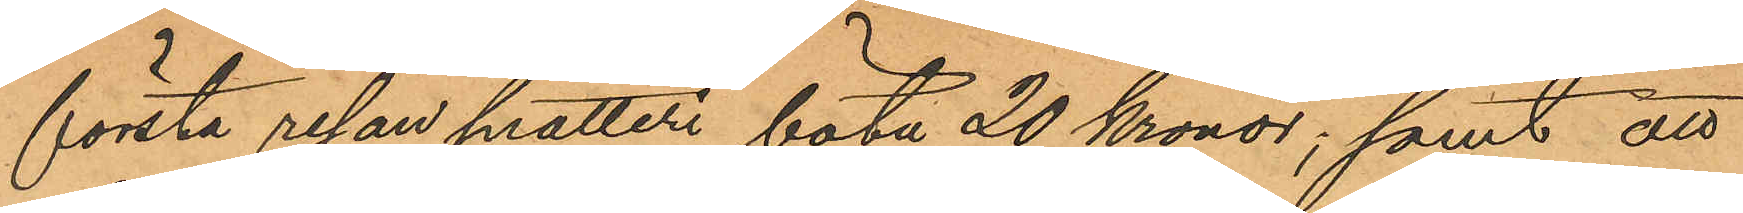första resan snatteri böta 20 Kronor; samt att
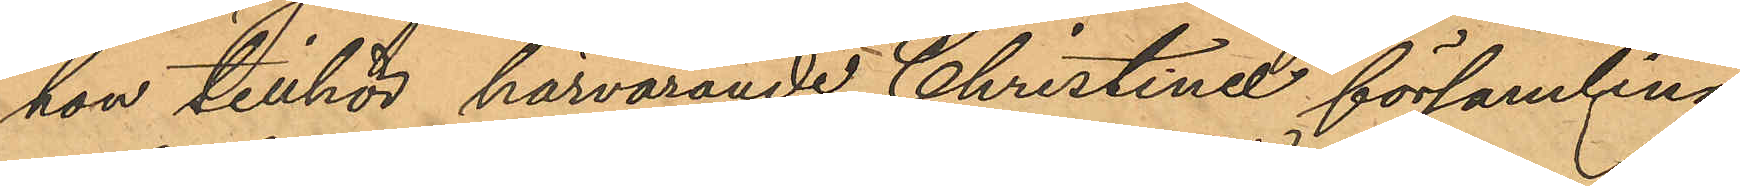hon tillhör härvarande Christina församling.
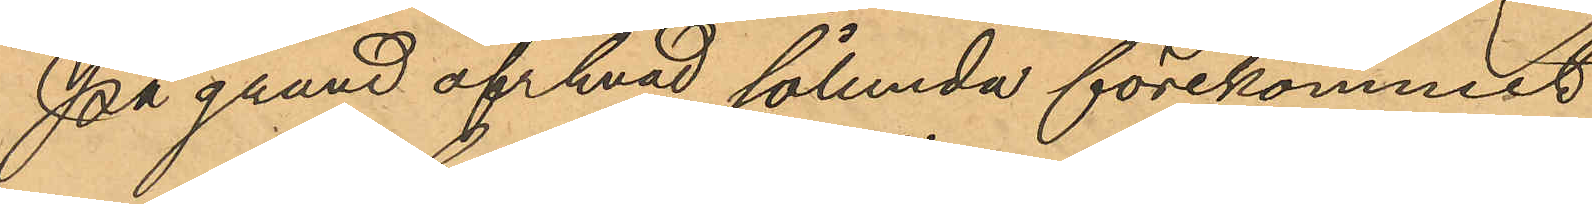På grund af hvad sålunda förekommit
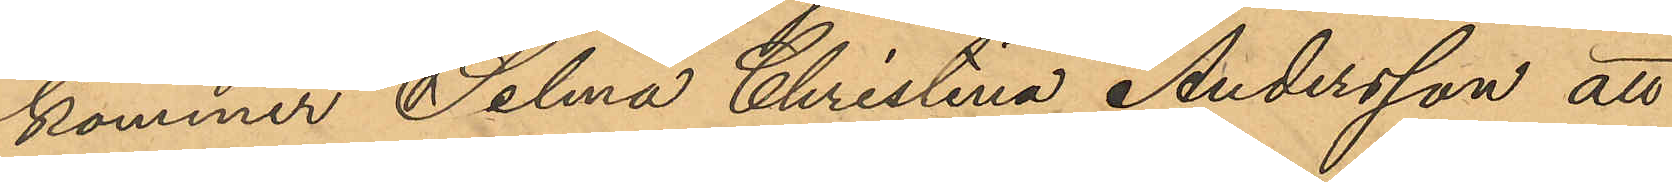kommer Selma Christina Andersson att
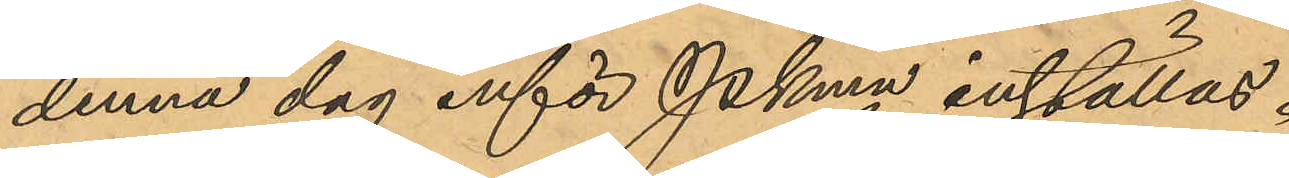denna dag inför Pkmn inställas.
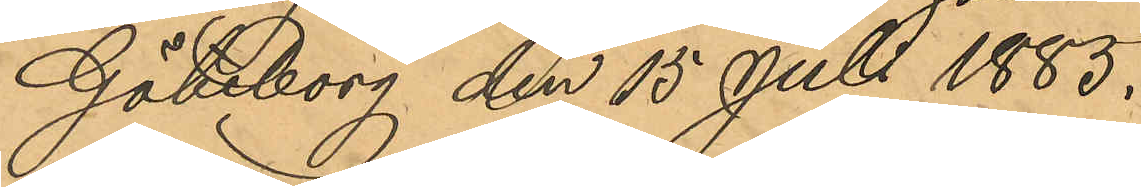Göteborg den 15 Juli 1883.
